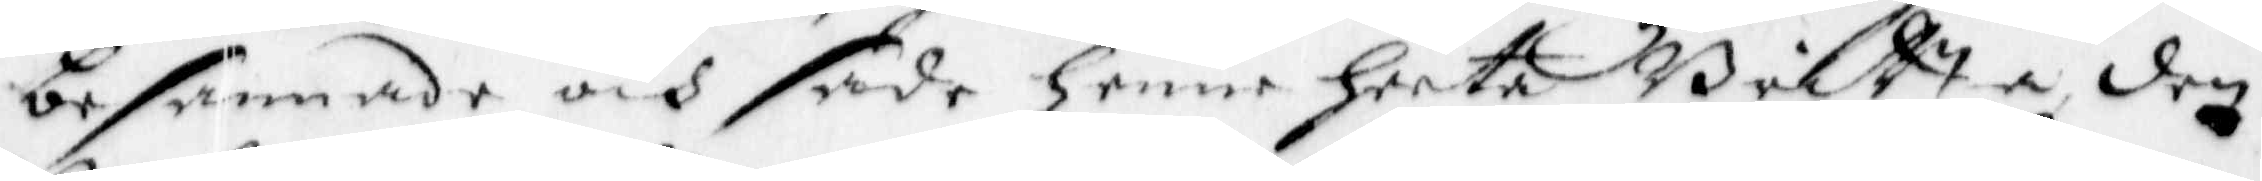besannade och sade henne heeta Britta den
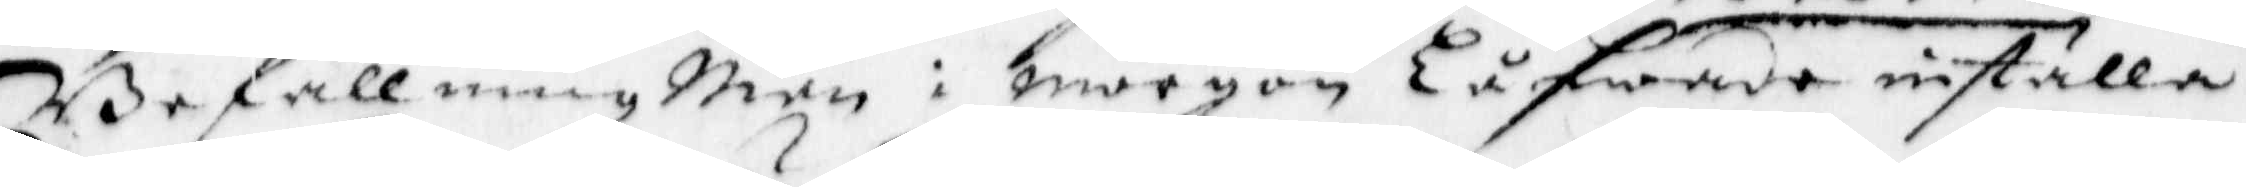Befallning Man i morgon Låfwade inställa.
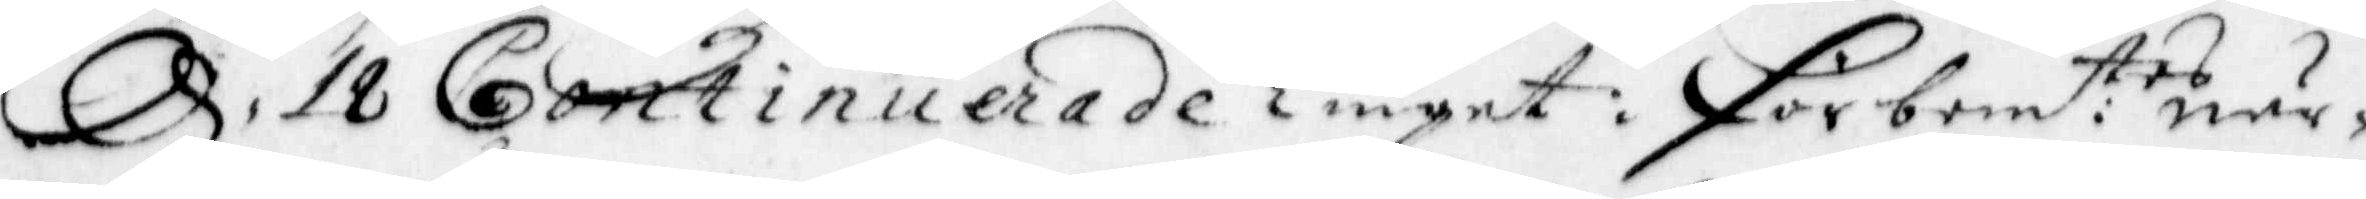d. 18 Continuerade Tinget: förbem:te när¬
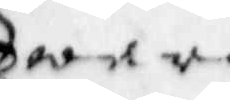waru.
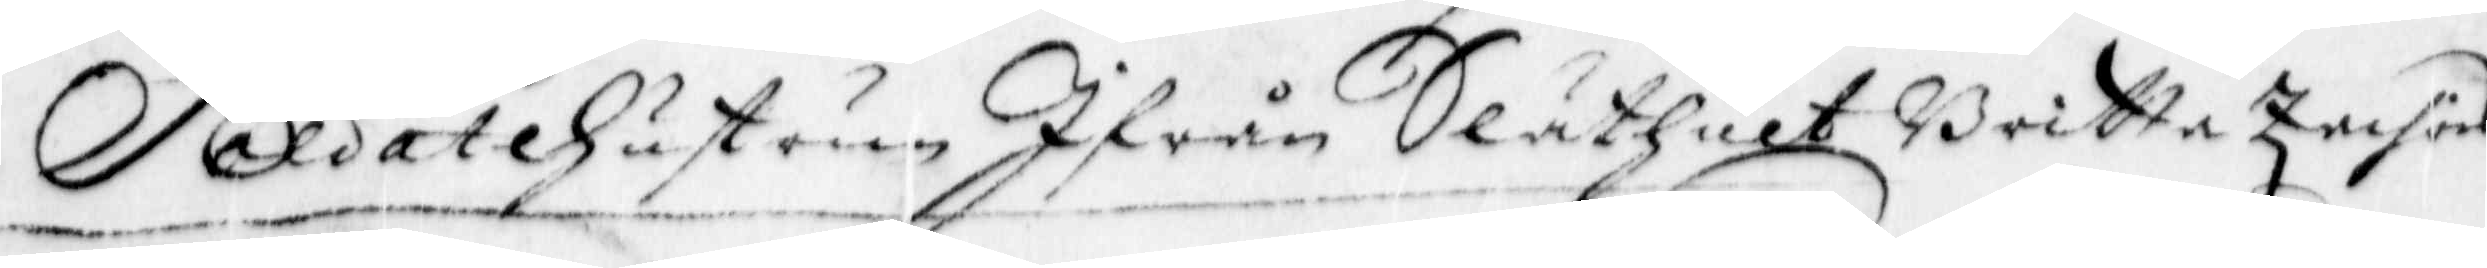Soldat Hustrun Ifrån Släthult Britta Znifärs¬
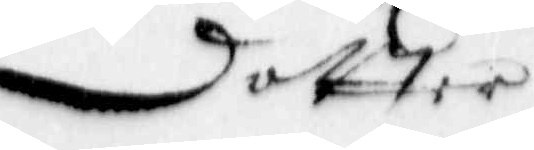dotter
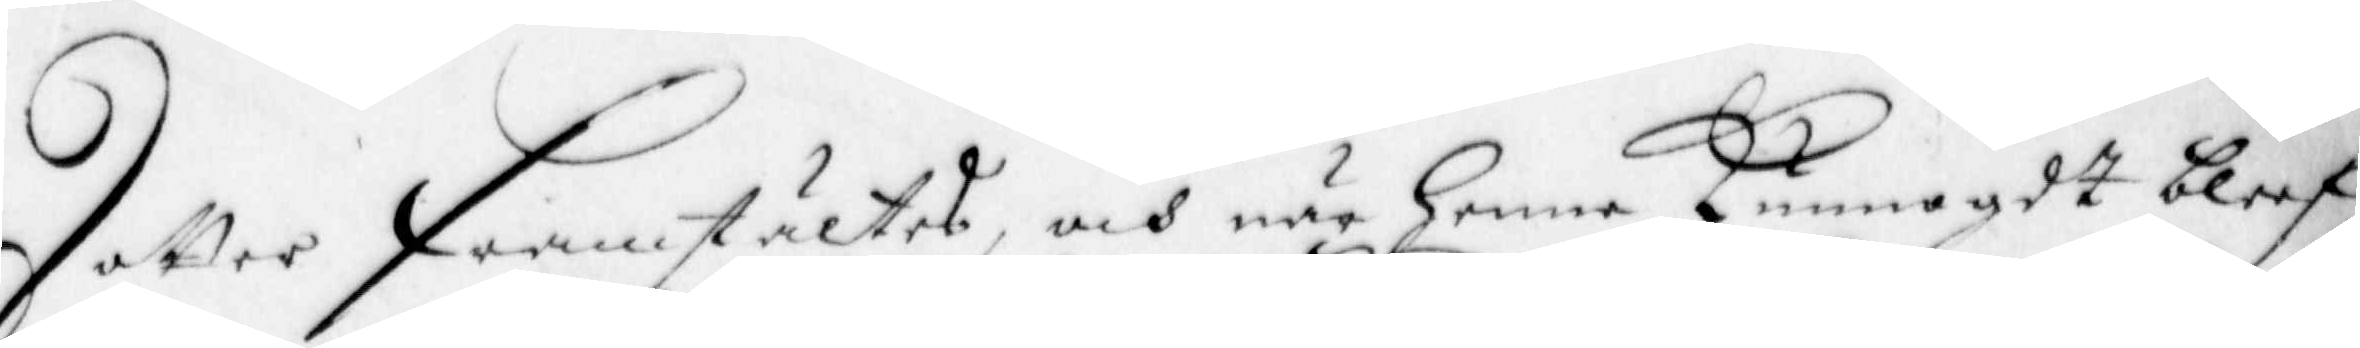dotter framstältes, och när henne kunnagdt bleef
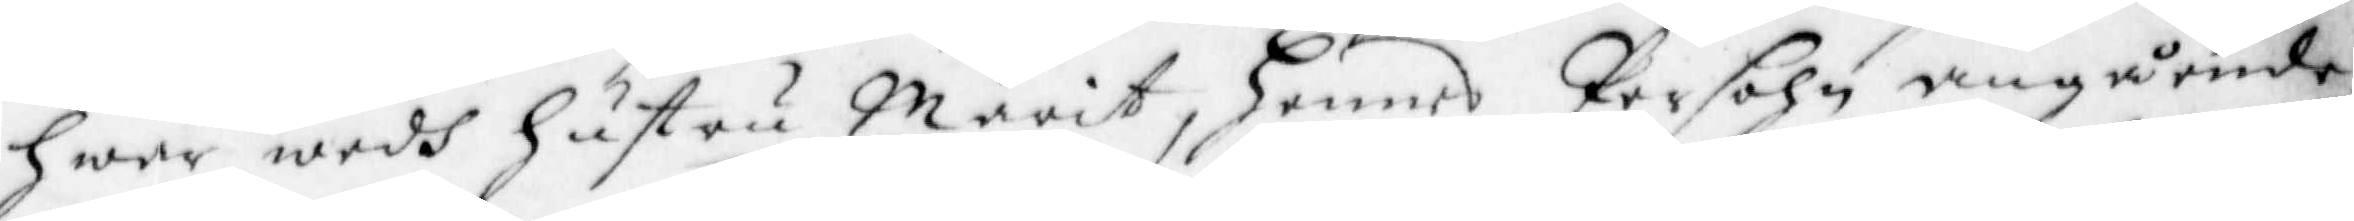Hwar wedh Hustru Märit, Hennes Persohn angående,
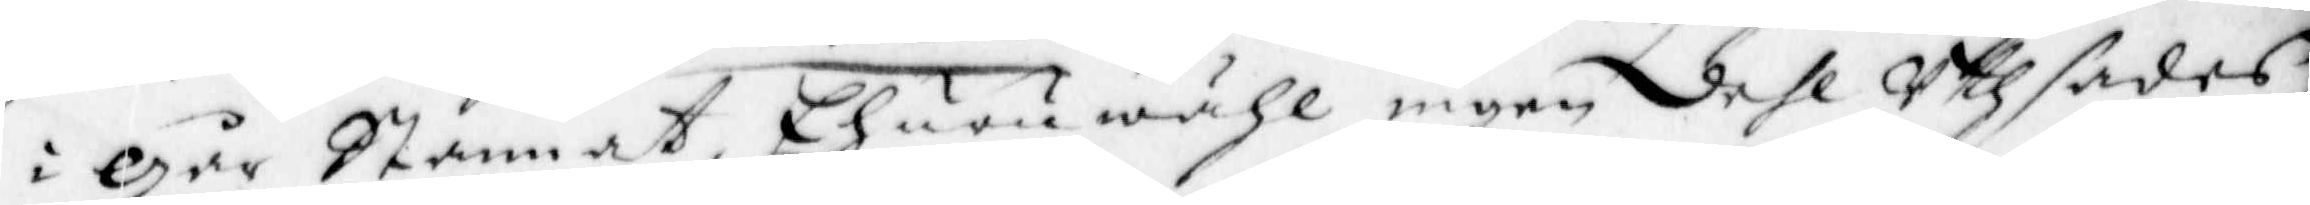i går Stannat, Ehuruwähl ingen dehl Uthsades
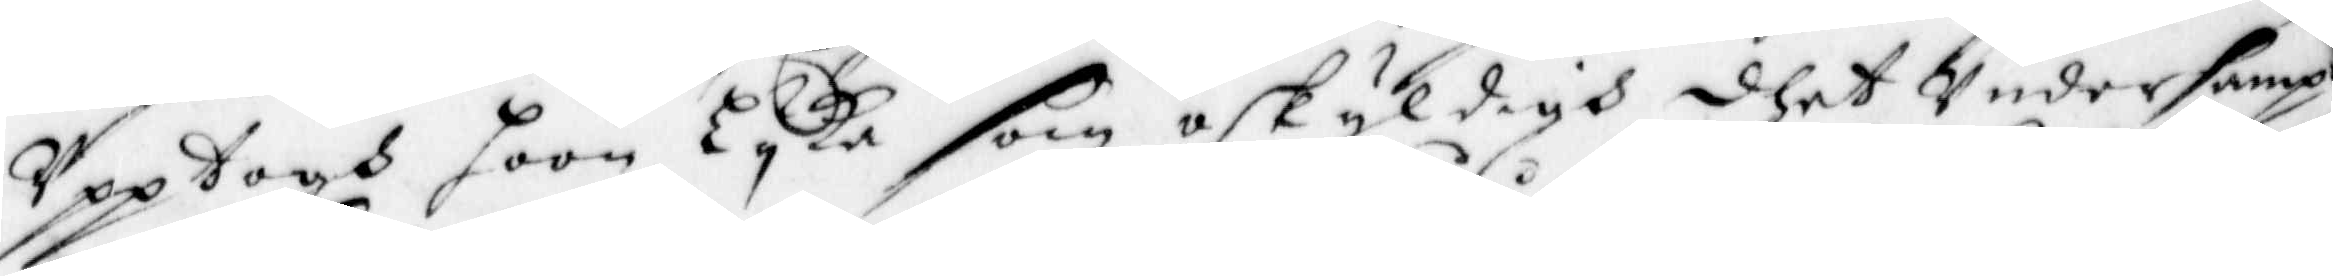Upptogh hoon Lyka som oskyldigh dhet Undersampt
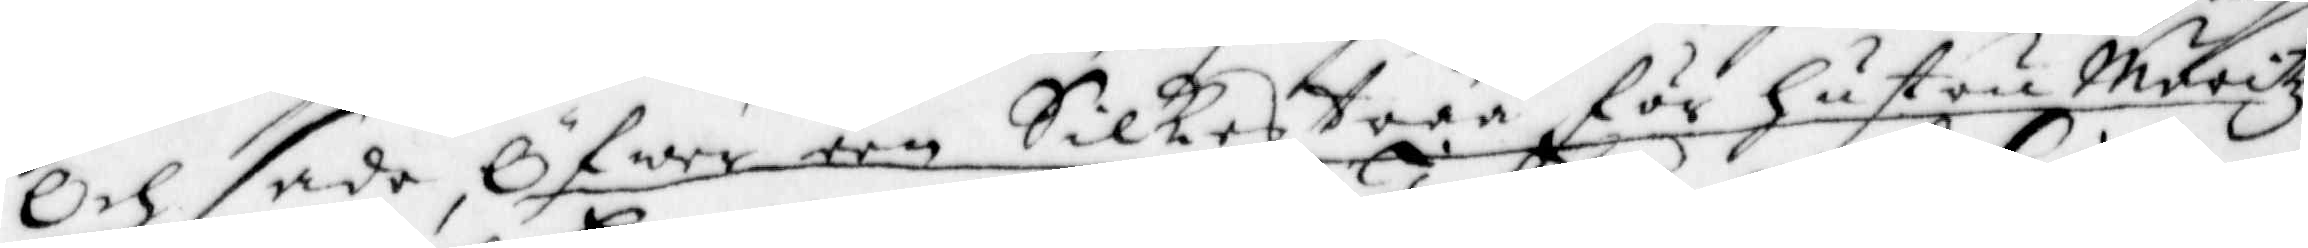och sade, Öfwer een Silkestråå för hustru Märitz
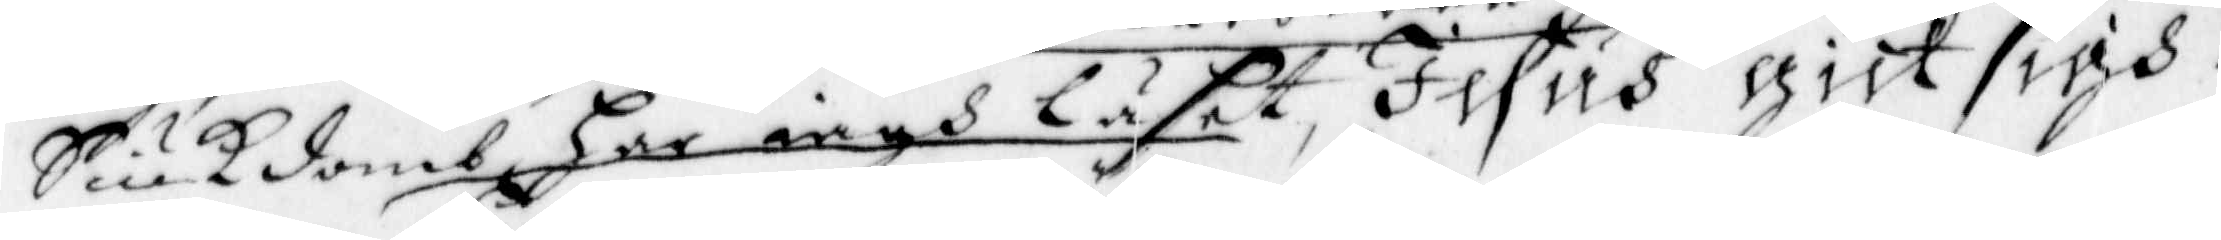Siukdomb, har iagh läset, Jesus gick sigh
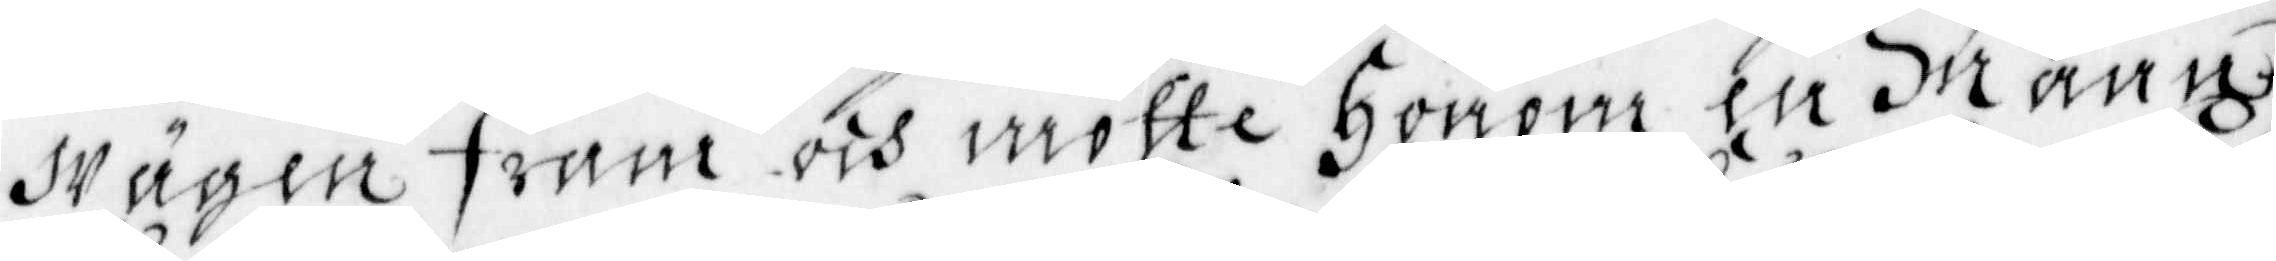wägen fram och mötte honom en mann
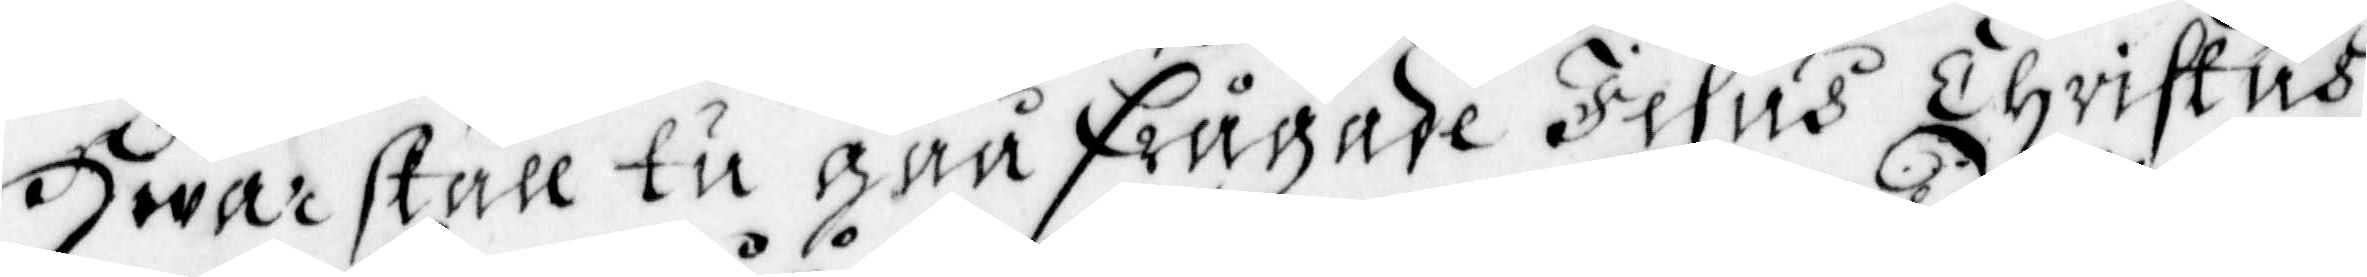Hwar skall tu gåå frågade Jesus Christus
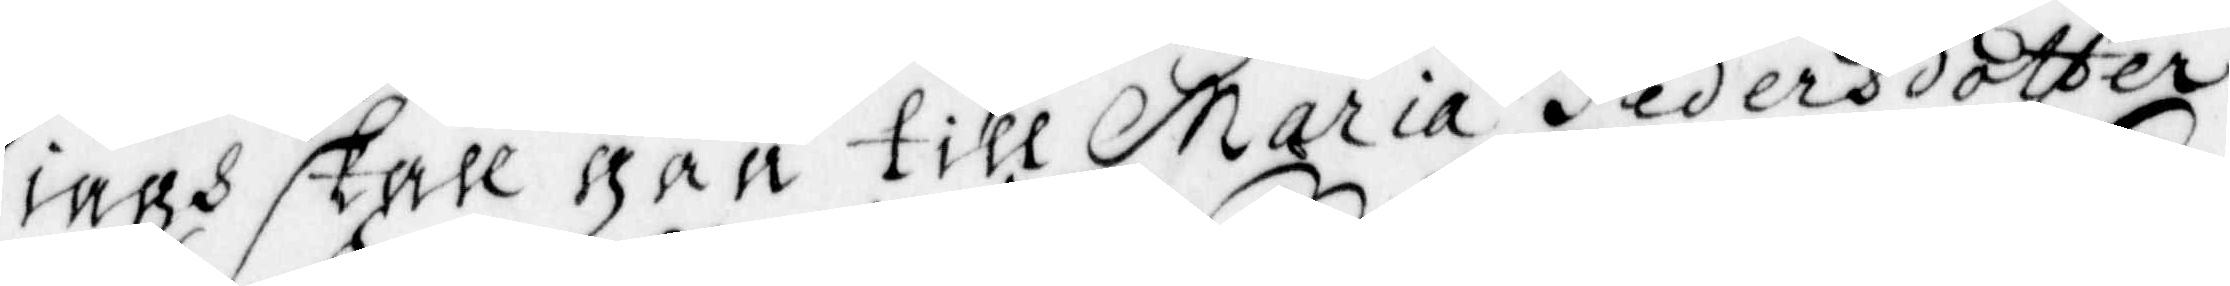iagh skall gåå till Maria Pedersdotter
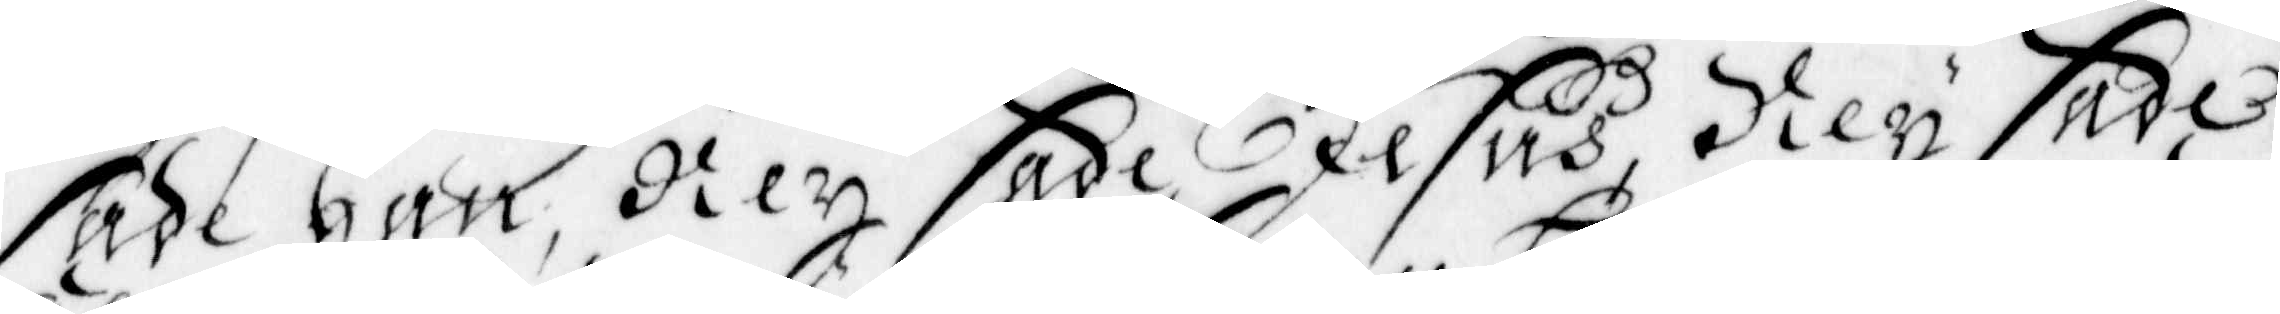sade han, Ney sade Jesus, Ney sade
